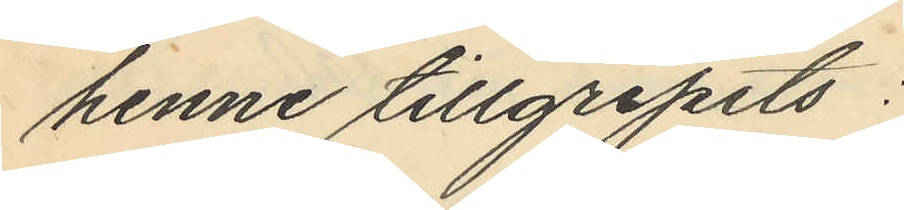henne tillgripits:
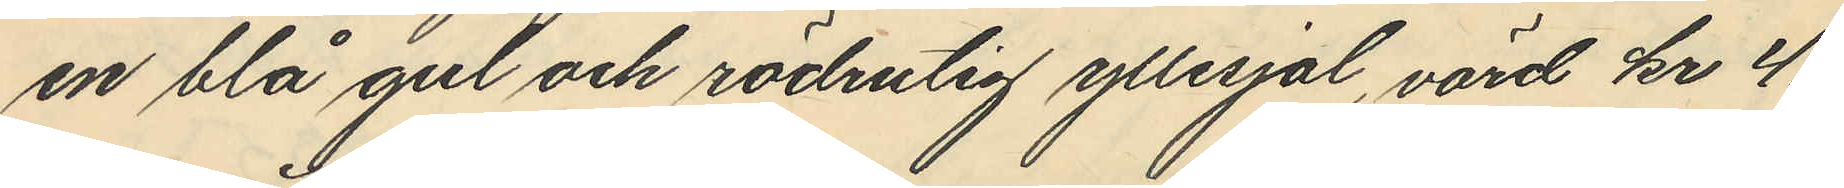en blå gul och rödrutig yllesjal, värd kr 4.
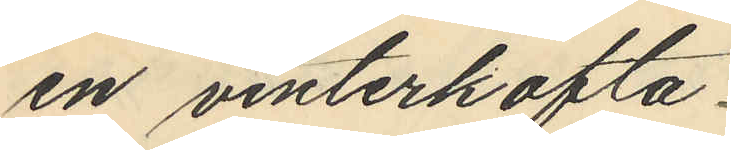en vinterkofta
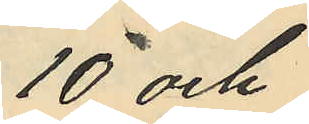10 och
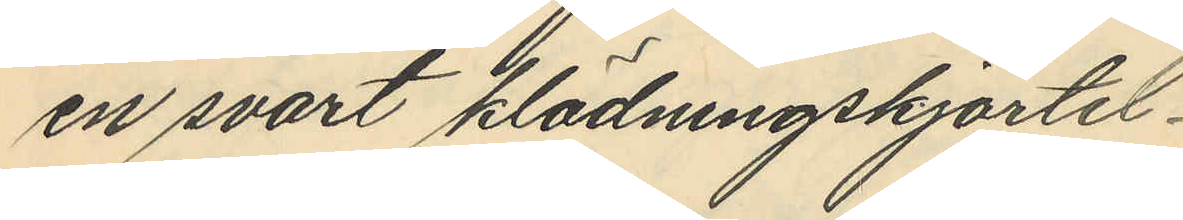en svart klädningskjortel
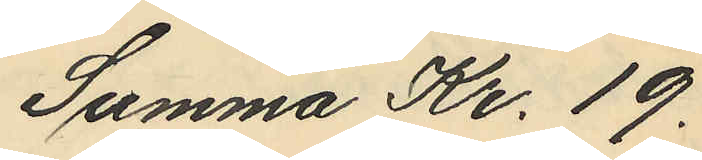Summa Kr. 19.
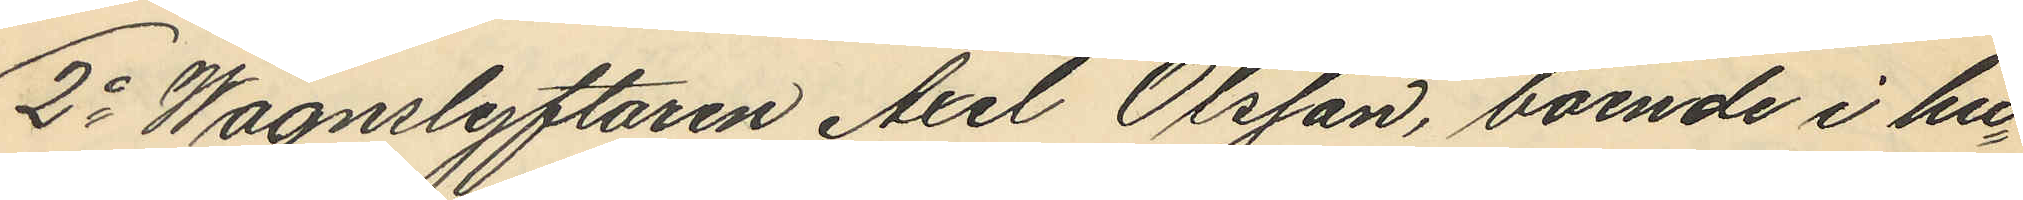2o Wagnslyftaren Axel Olsson, boende i hu¬
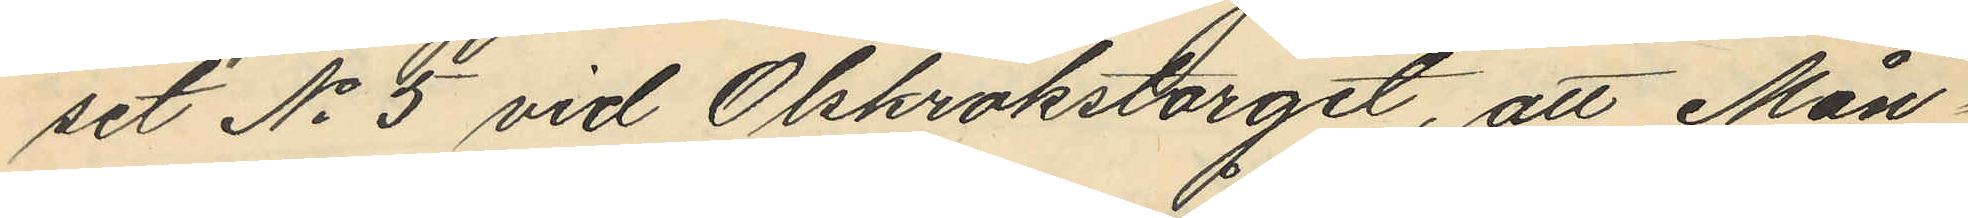set No 5 vid Olskrokstorget, att Mån¬
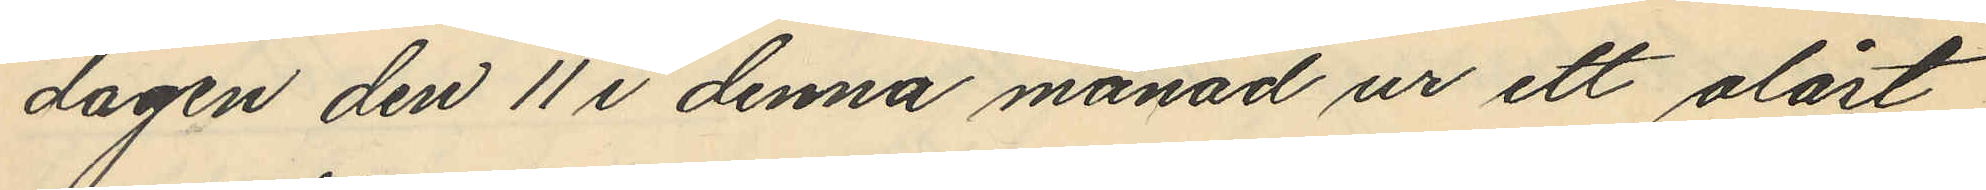dagen den 11 i denna månad ur ett olåst
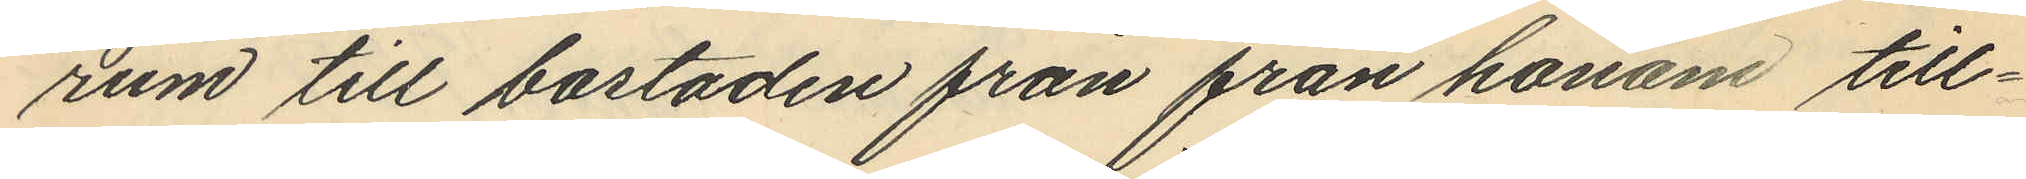rum till bostaden från från honom till¬
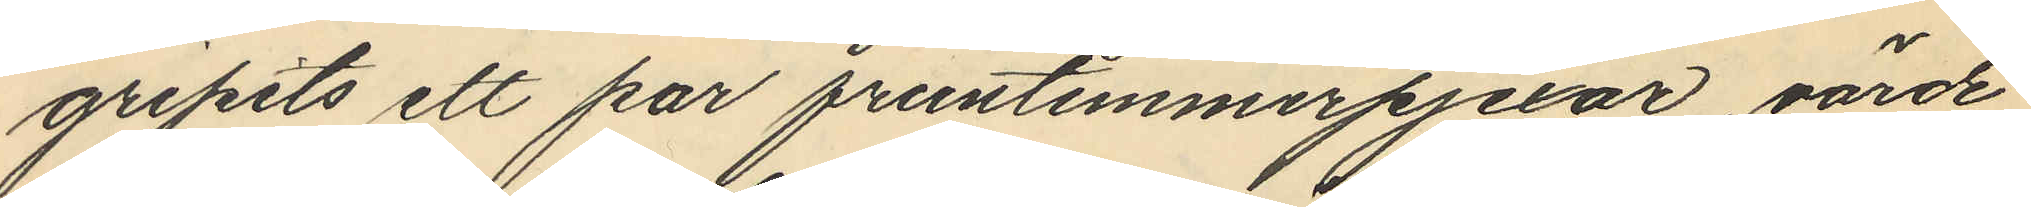gripits ett par fruntimmerpjexor, värde
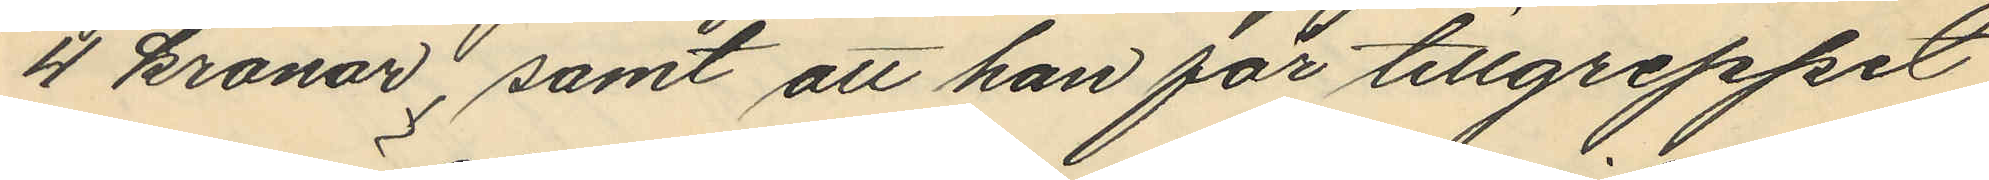4 kronor; samt att han för tillgreppet
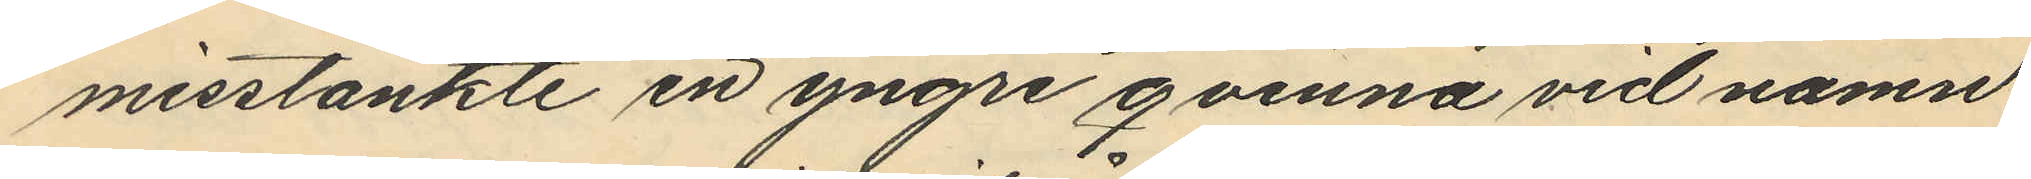misstänkte en yngre qvinna vid namn
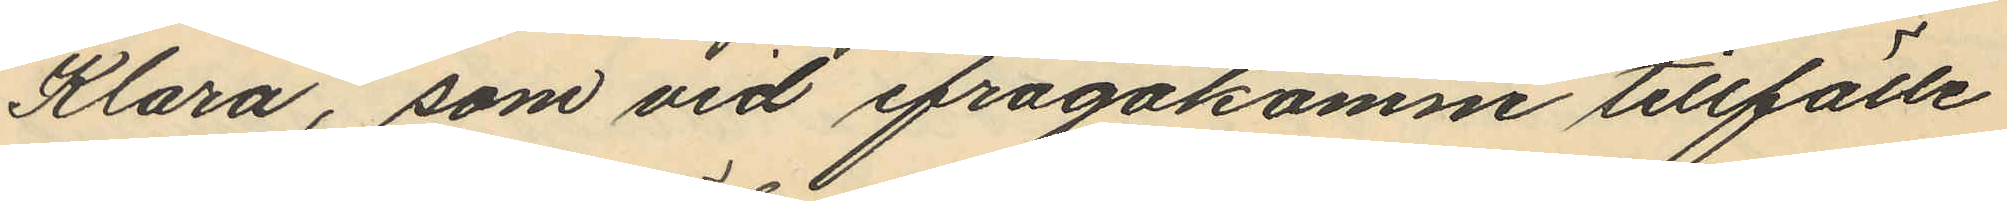Klara, som vid ifrågakomne tillfälle
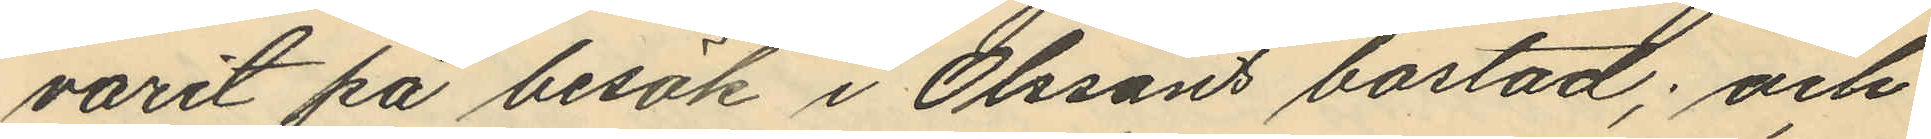varit på besök i Olssons bostad; och
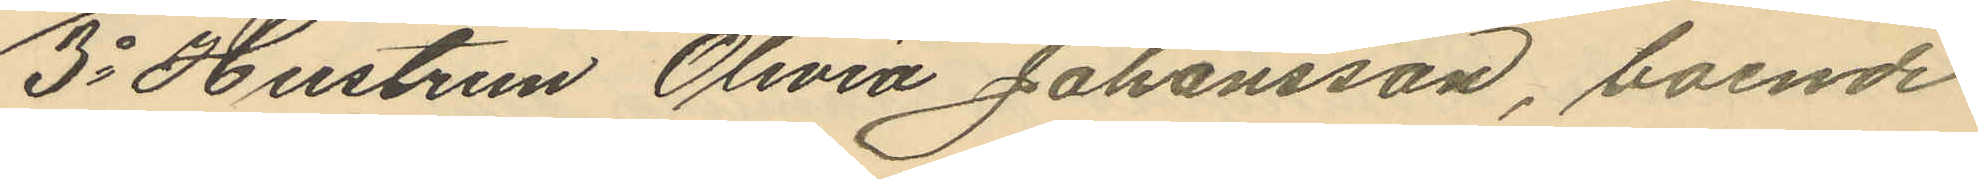3o Hustrun Olivia Johansson, boende
